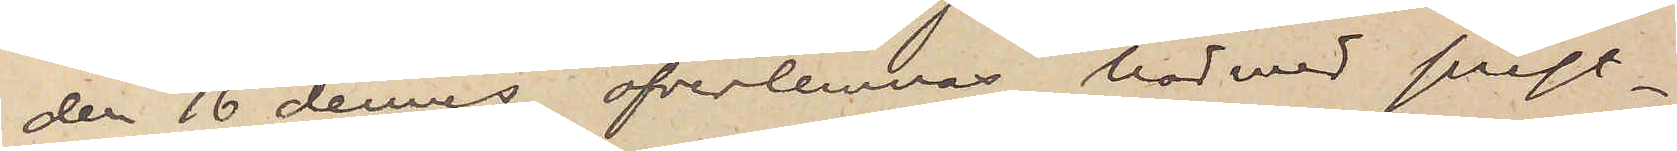den 16 dennes öfverlemnas härmed prest¬
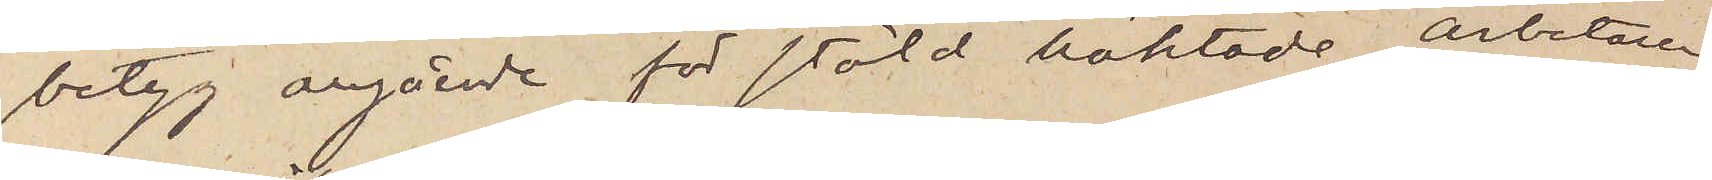betyg angande för stöld häktade arbetaren
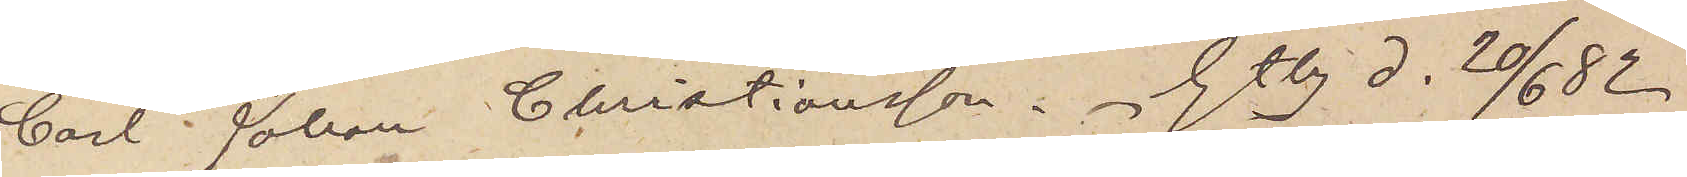Carl-Johan Christiansson. Gtbg d. 20/6 82.
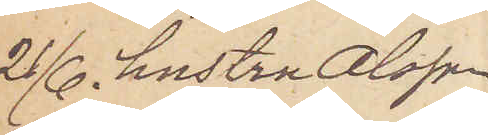21/6. hustru Olofsson
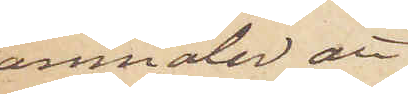anmäler att
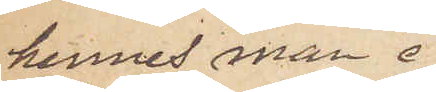hennes man i
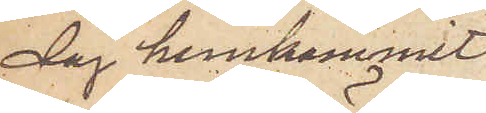dag hemkommit
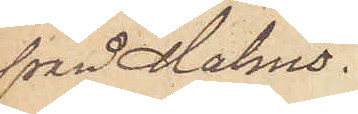från Malmö. 
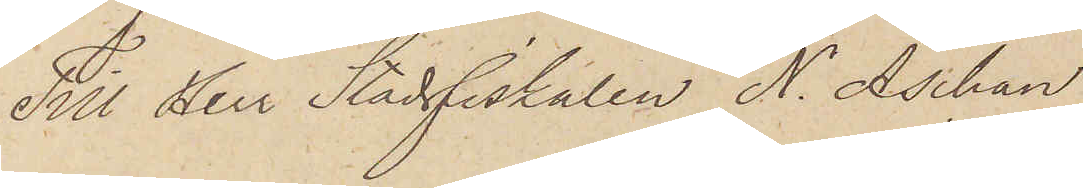Till Herr Stadsfiskalen N. Aschan
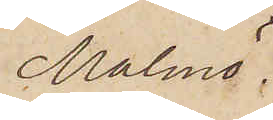Malmö.
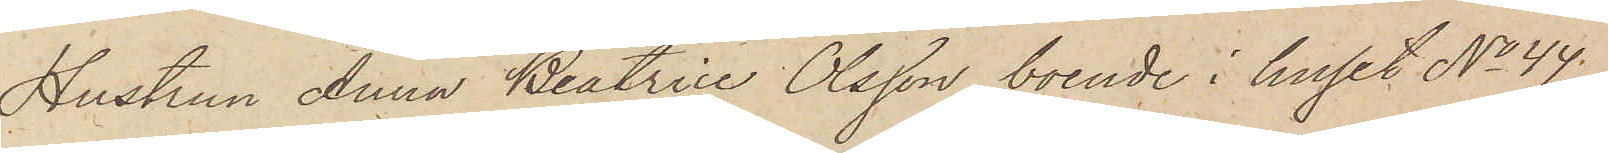Hustrun Anna Beatrice Olsson, boende i huset No 44.
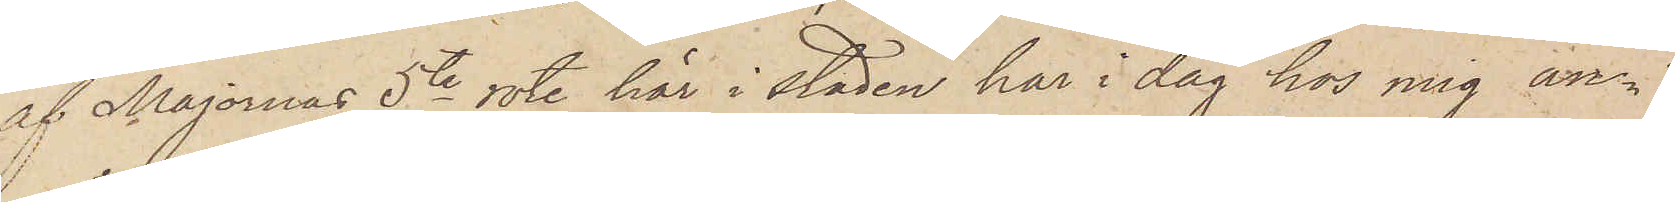af Majornas 5te rote här i staden har i dag hos mig an¬
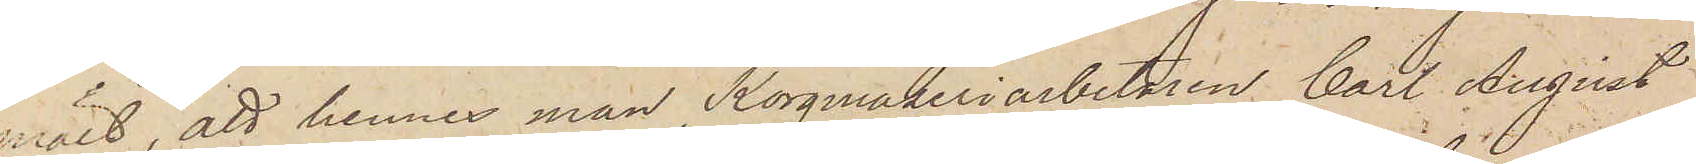mält, att hennes man Korgmakeriarbetaren Carl August
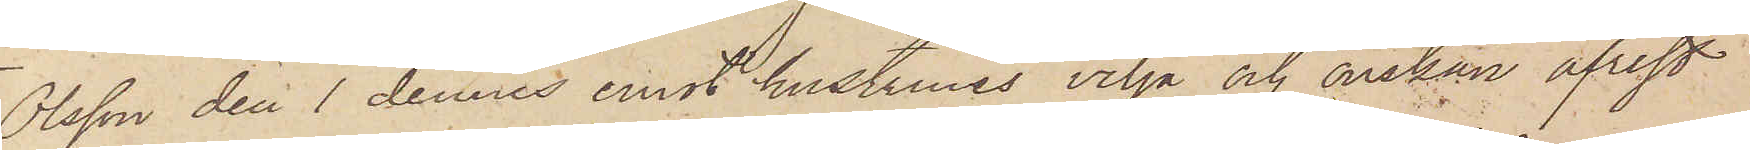Olsson den 1 dennes emot hustruns vilja och önskan afrest
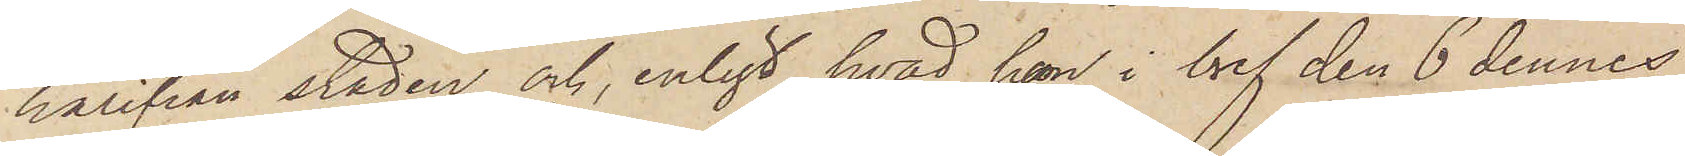härifrån staden och, enligt hvad hon i bref den 6 dennes
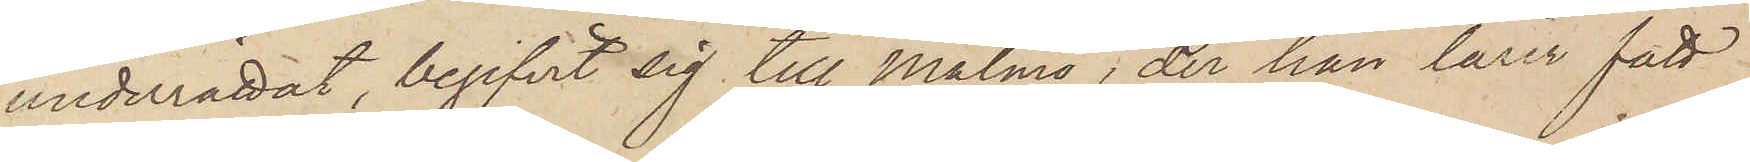underrättat, begifvit sig till Malmö, der han lärer fått
